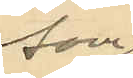som
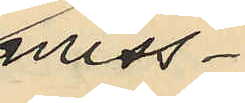miss¬
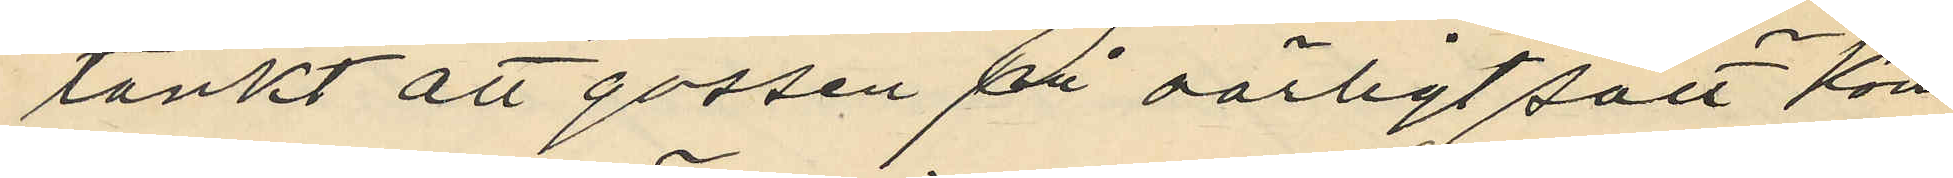tänkt att gossen på oärligt sätt kom¬
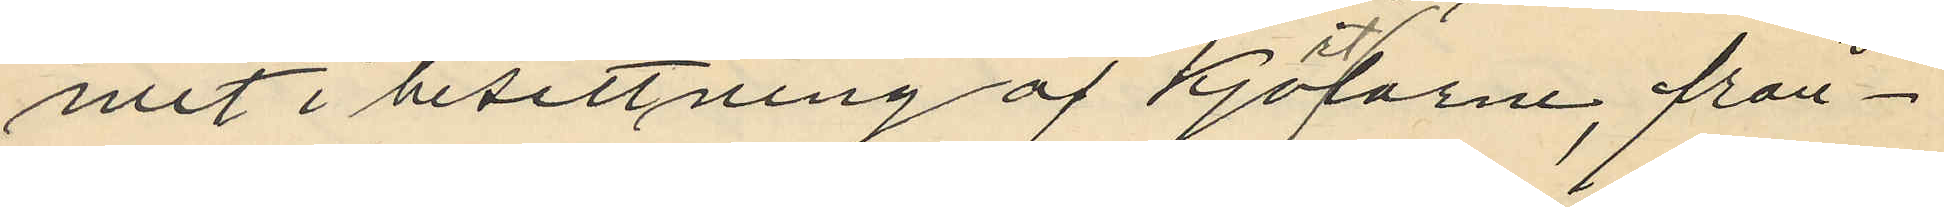mit i besittning af kjortlarne, från¬
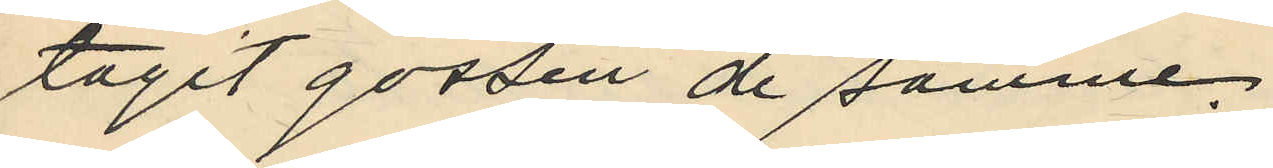tagit gossen de samme.
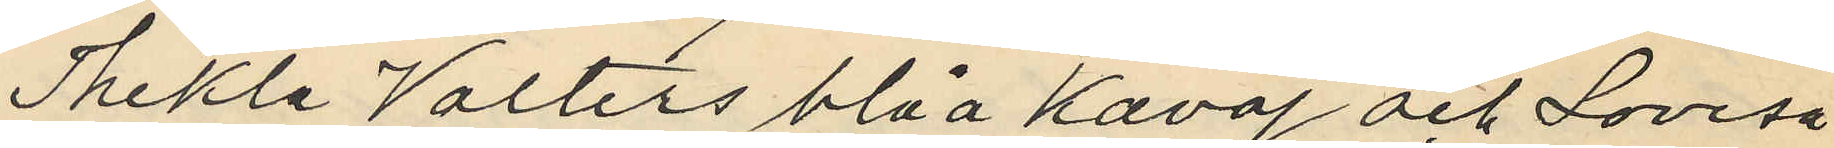Thekla Valters blåa kavaj och Lovisa¬
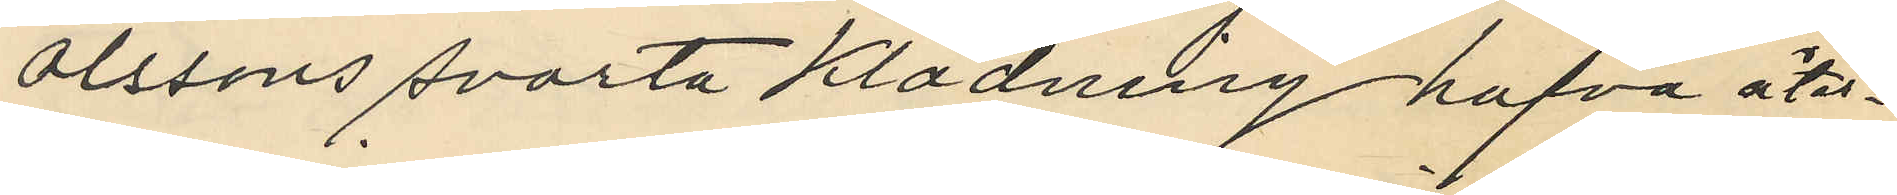Olssons svarta klädning hafva åter¬
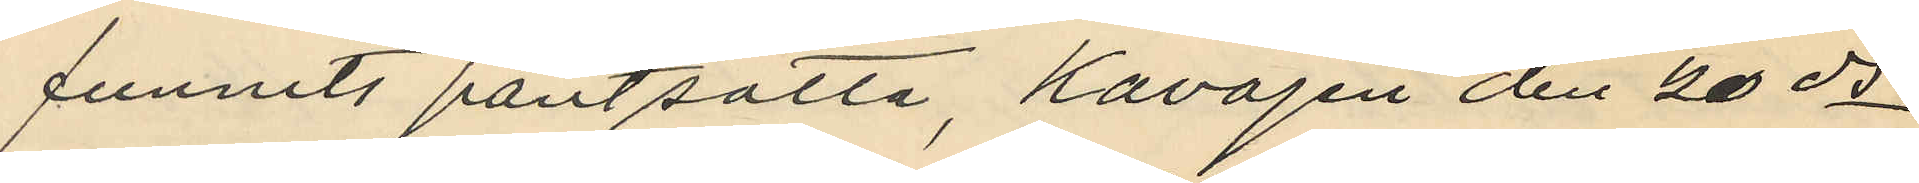funnits pantsatta, kavajen den 20 ds
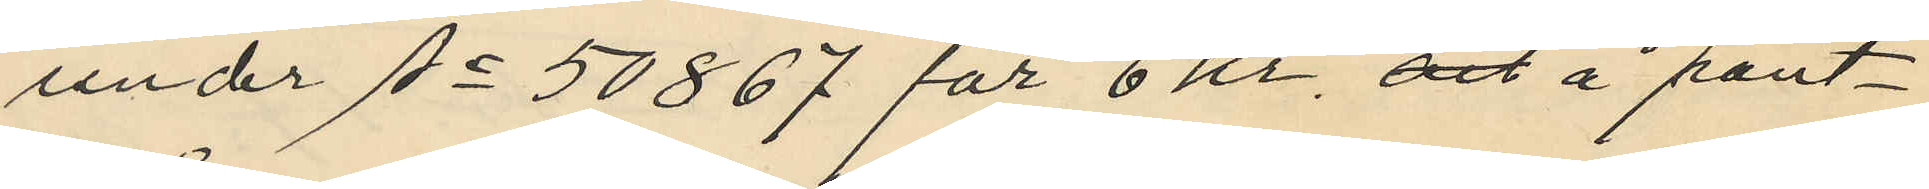under No 50867 för 6 Kr, och å pant¬
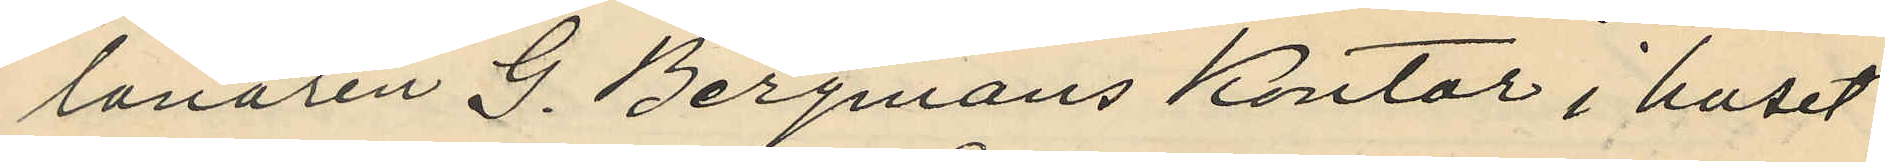lånaren G. Bergmans kontor i huset
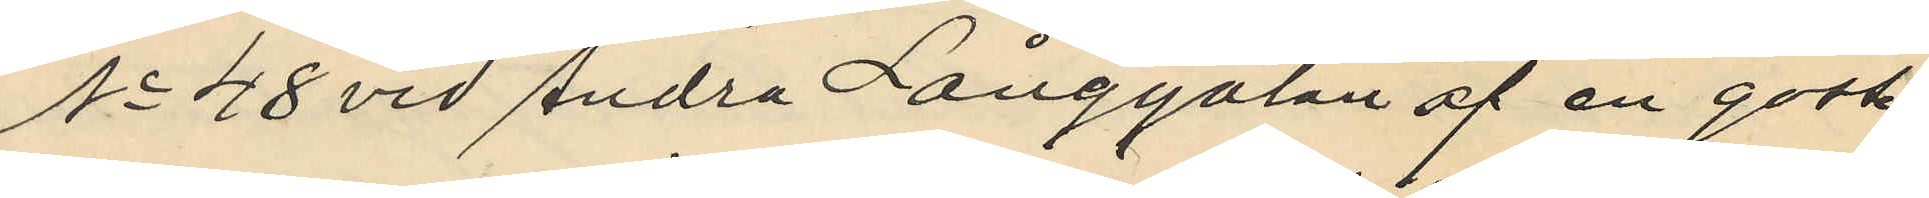No 48 vid Andra Långgatan af en gosse
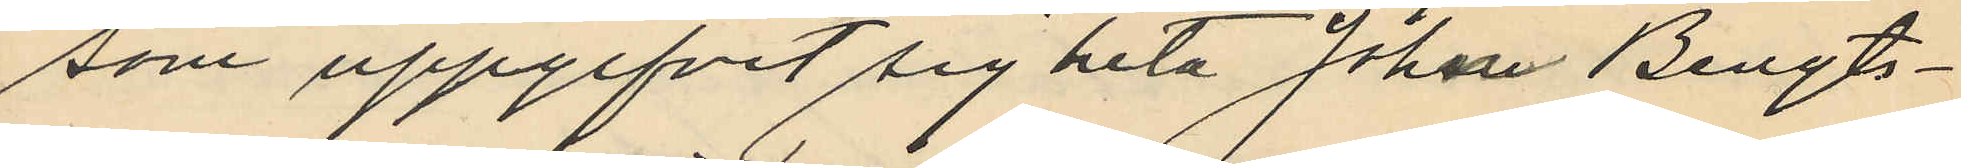som uppgifvit sig heta Johan Bengts¬
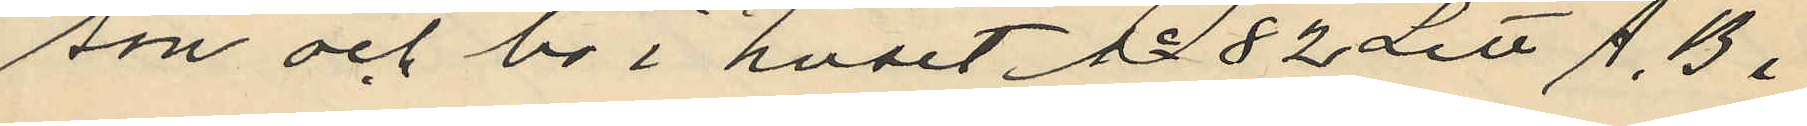son och bo i huset No 82 Litt A. B i
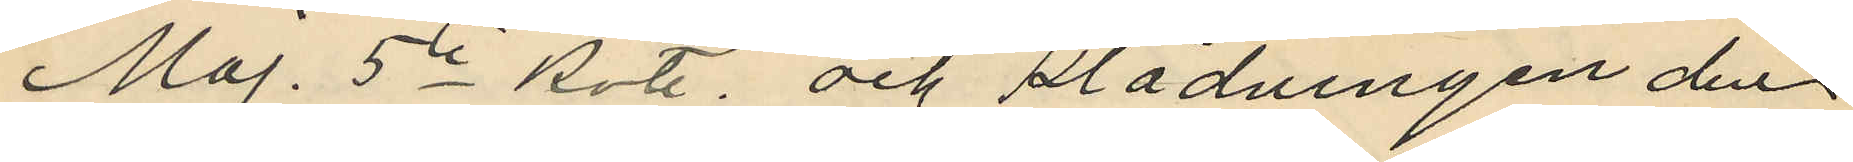Maj. 5te Rote, och klädningen den
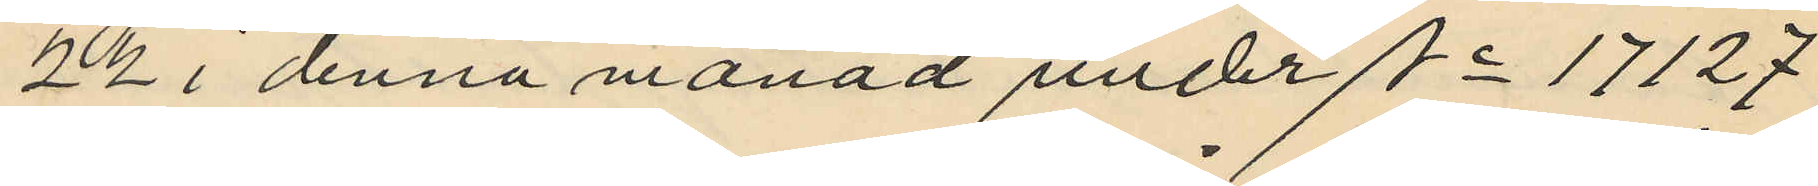22 i denna månad under No 14127
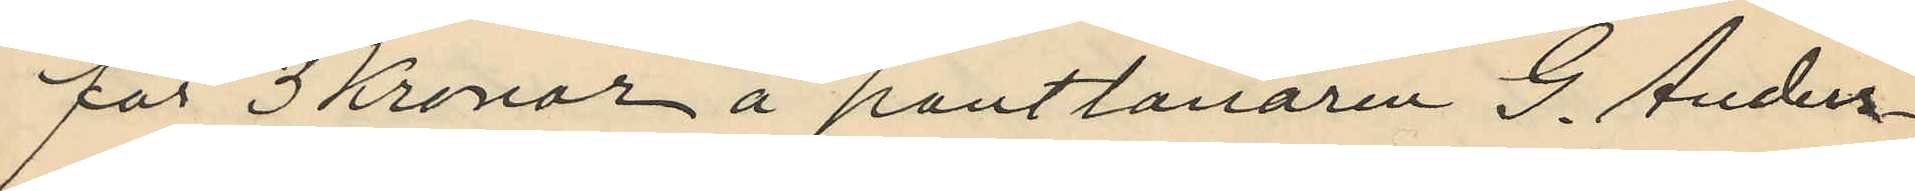för 3 Kronor å pantlånaren G. Anders¬
